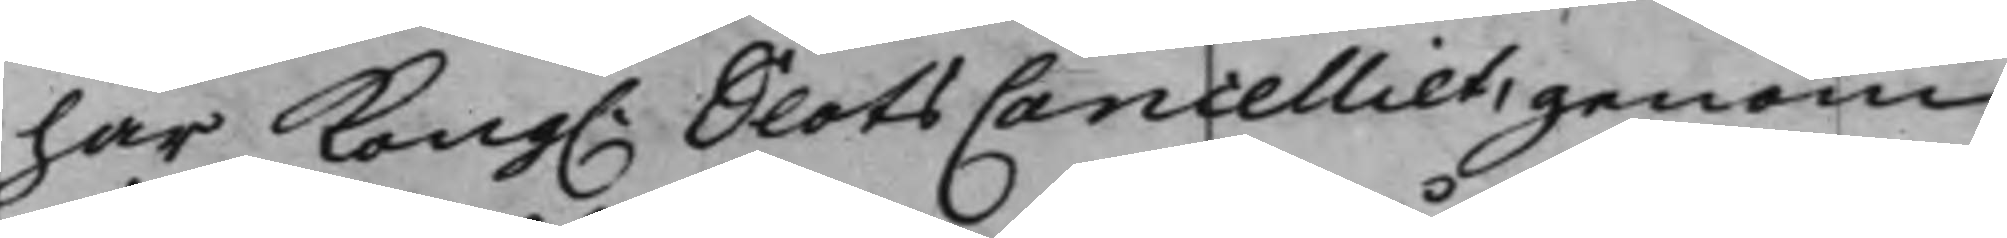har Kong. SlotsCancelliet, genom
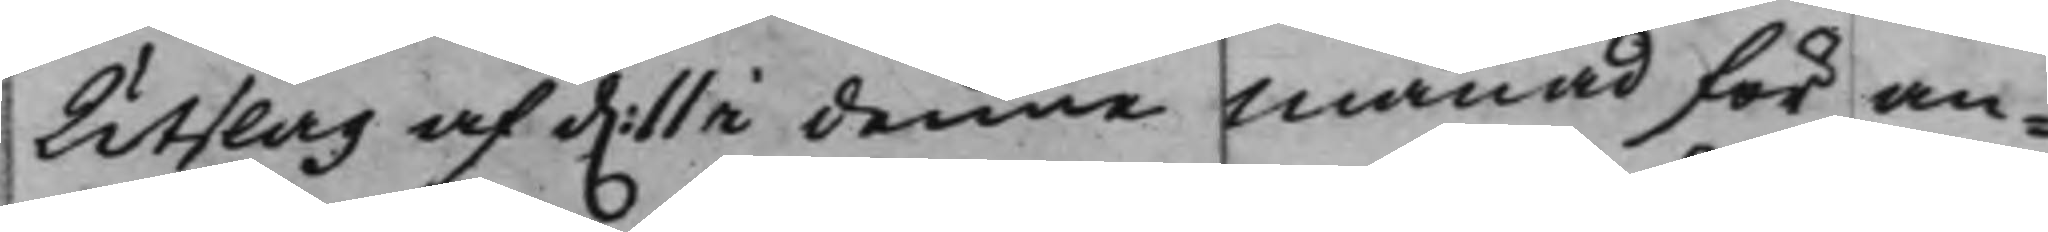Utslag af d. 11 i denne månad för an¬
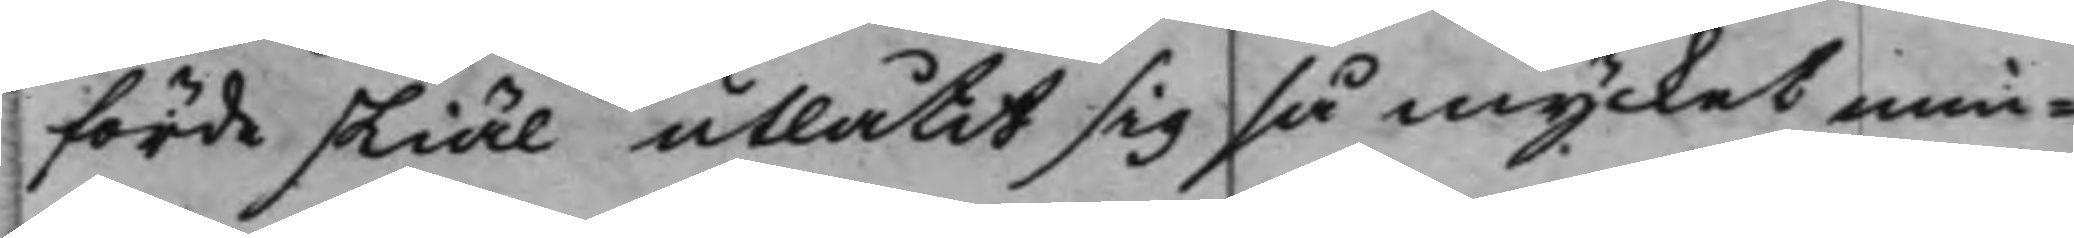förde skiäl utlåtit sig så mycket min¬
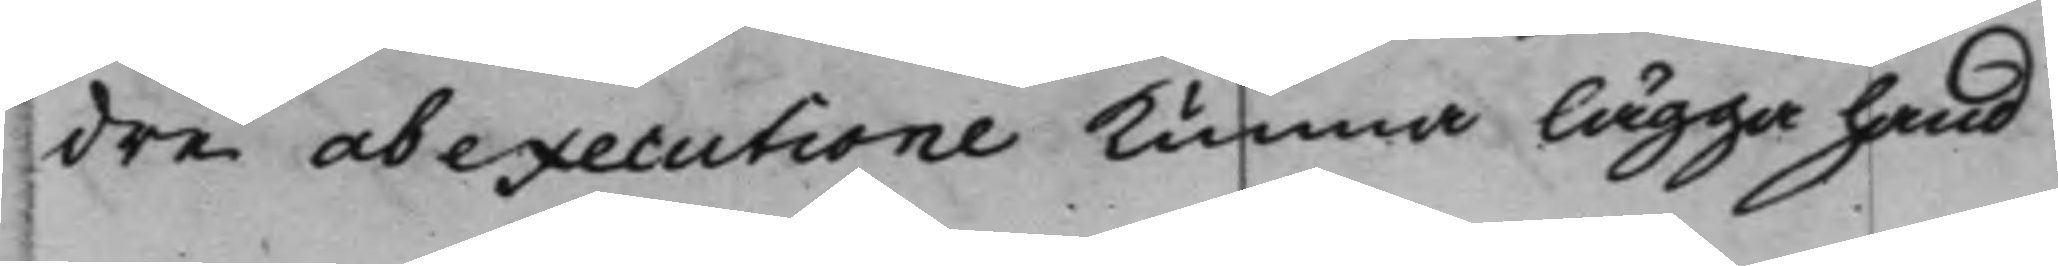dre ab executione kunna lägga hand
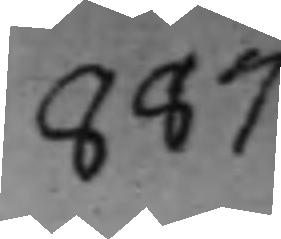887
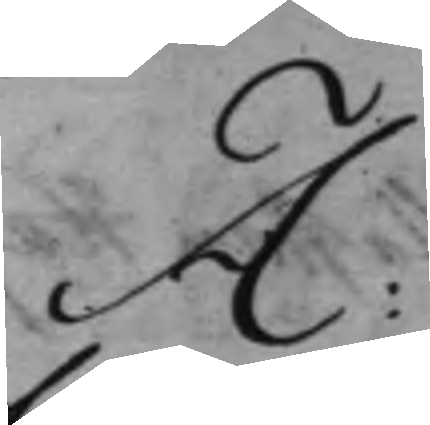A:
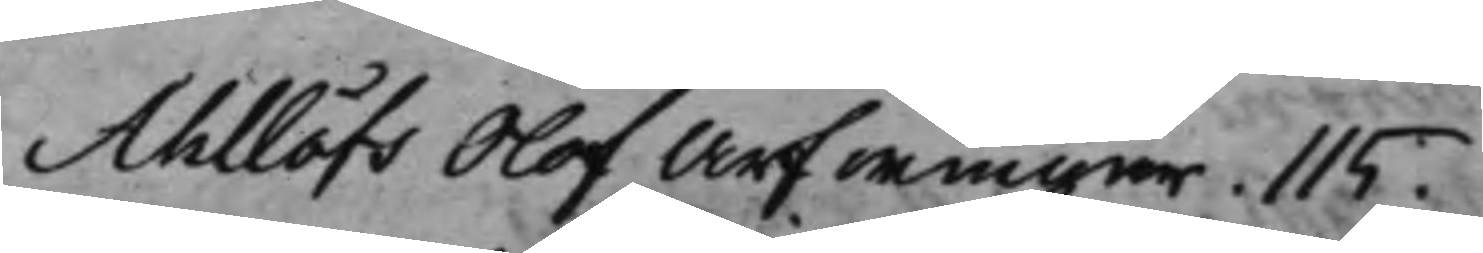Ahllöfs Olof Arfwingar. 115.
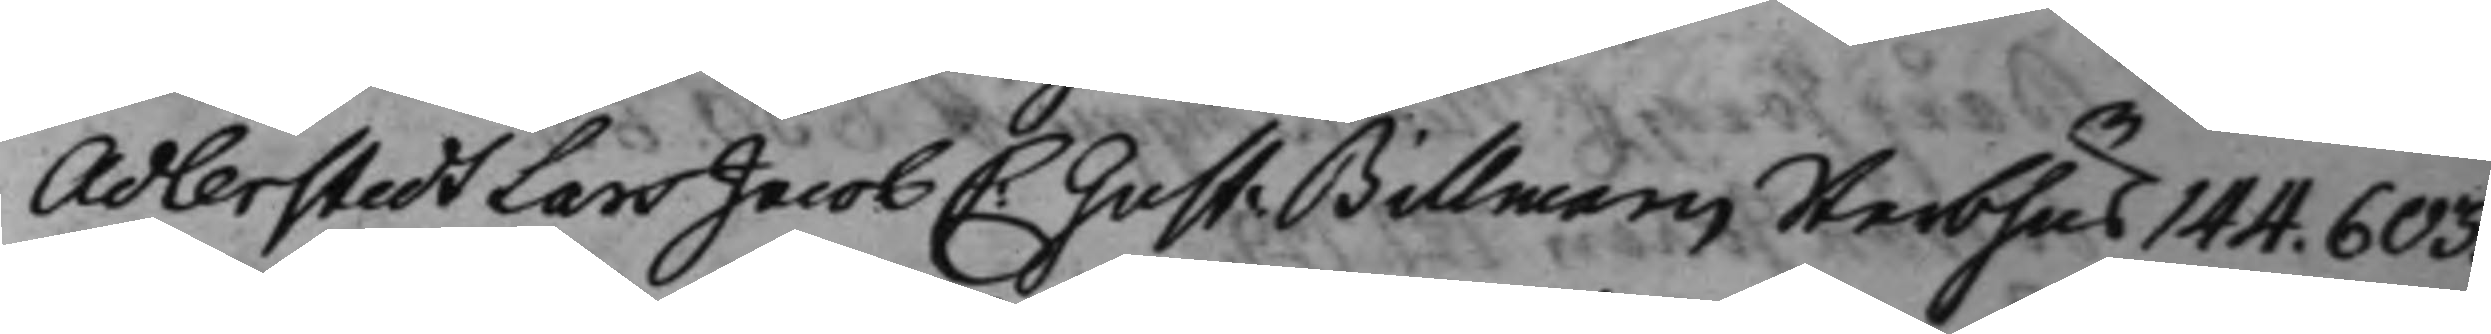Adlerstedt Lars Jacob C: Gust: Billmans Sterbhus 144. 603.
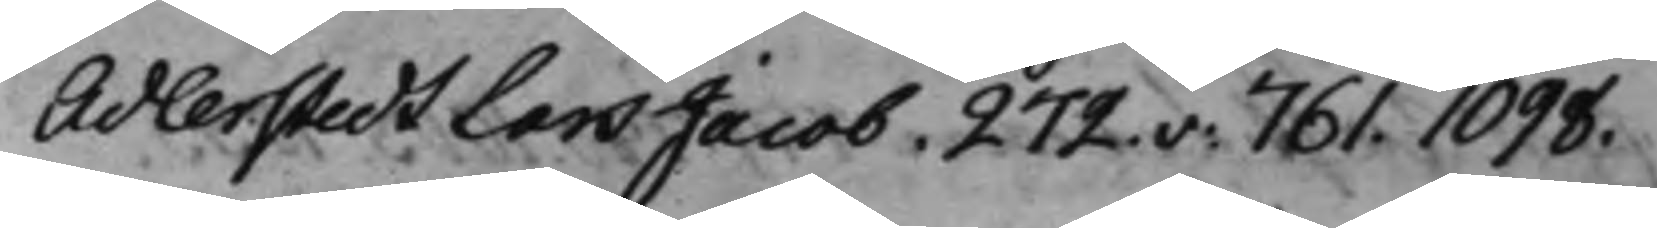Adlerstedt Lars Jacob. 272.v: 761. 1098.
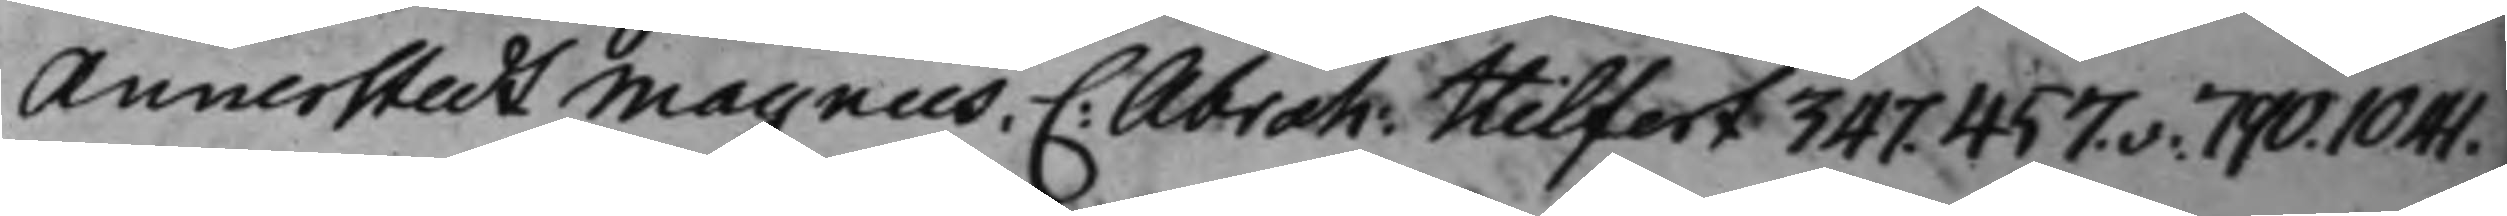Annerstedt Magnus. C: Abrah: Hilfert 347. 457.v: 790. 1041.
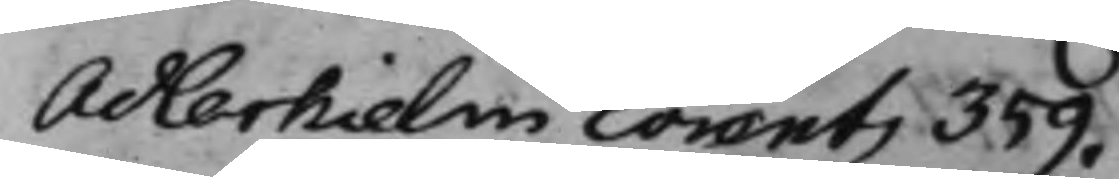Adlerhielm Lorentz 359.
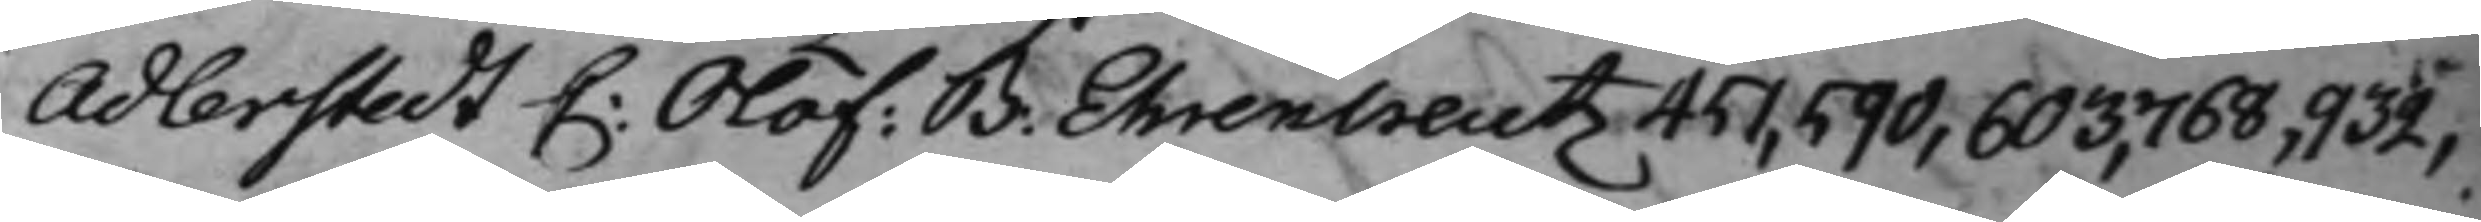Adlerstedt C: Olof: B. Ehrencreutz 451, 590, 603, 768, 932,
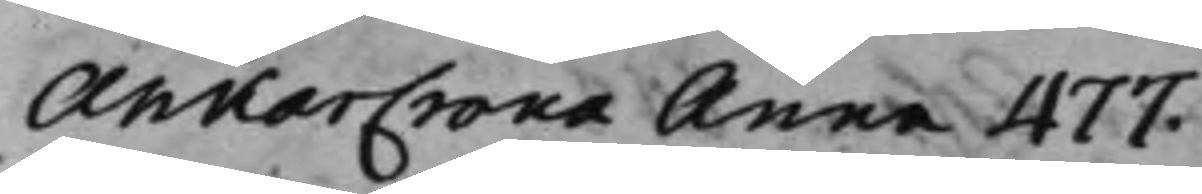AnkarCrona Anna 477.
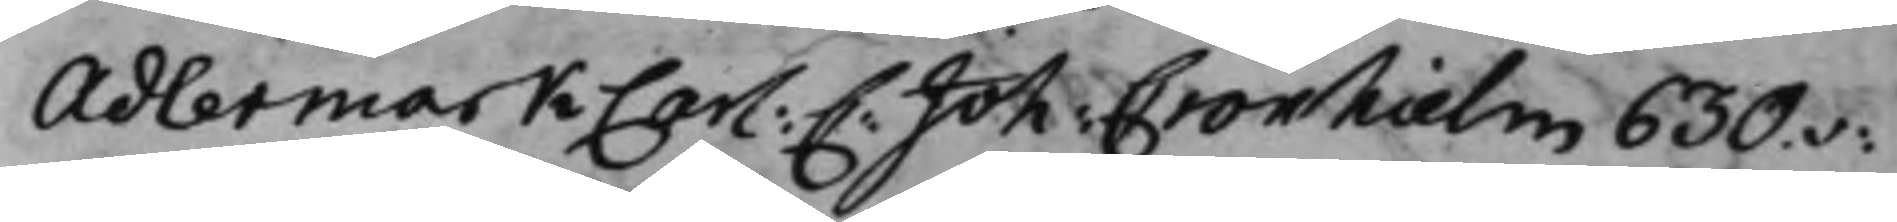Adlermark Carl: C: Joh: Cronhielm 630.v:
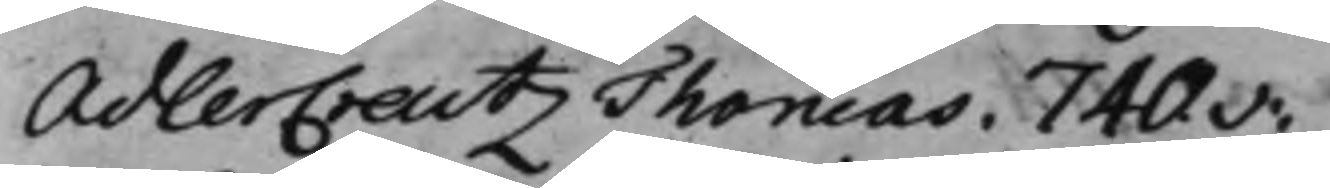AdlerCreutz Thomas. 740.v:
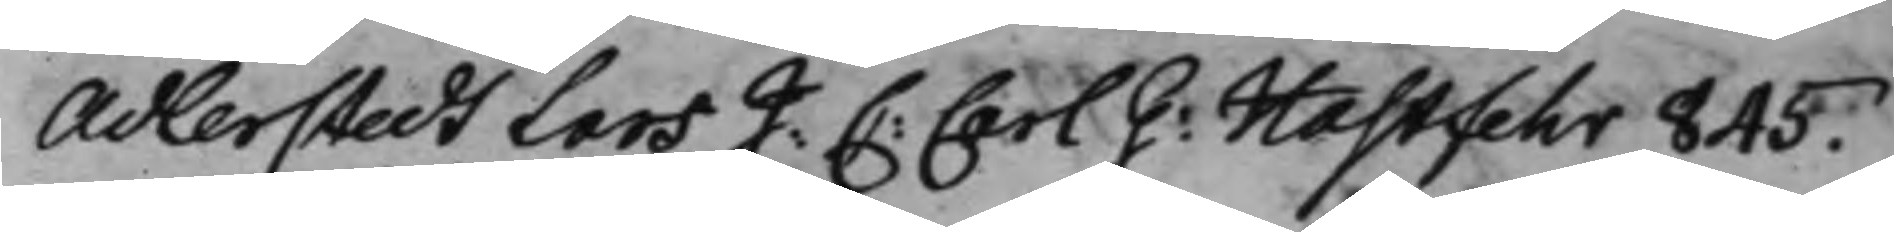Adlerstedt Lars J: C: Carl G: Hastfehr 845.
